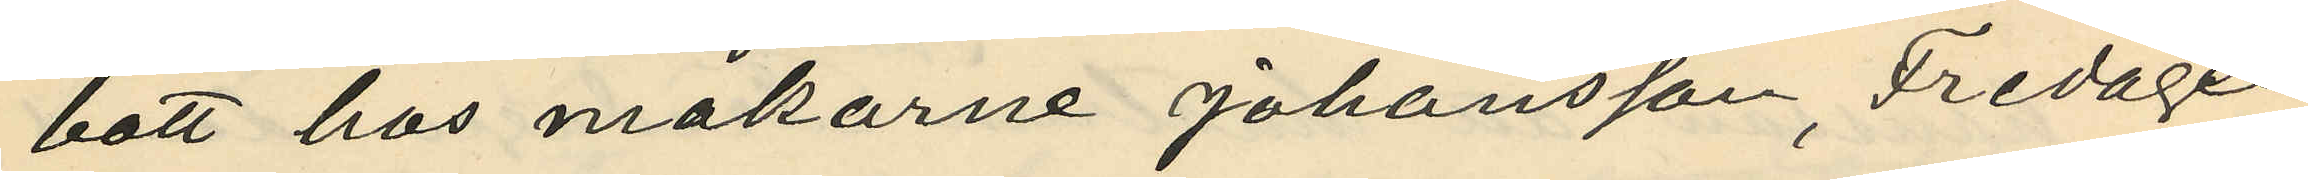bott hos makarne Johansson, Fredagen
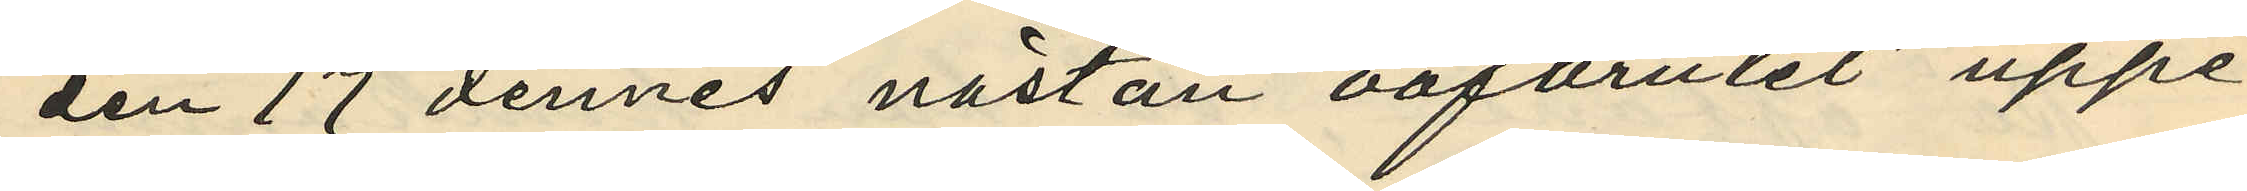den 17 dennes nästan oafbrutet uppe¬
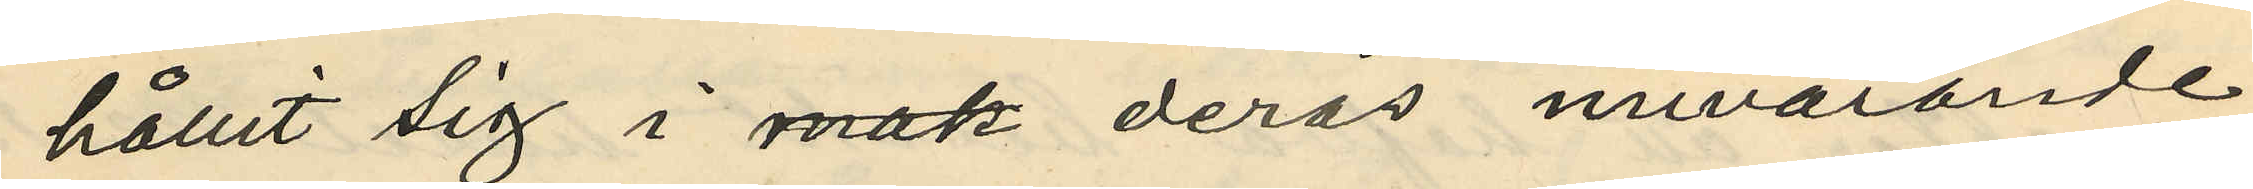hållit sig i deras nuvarande
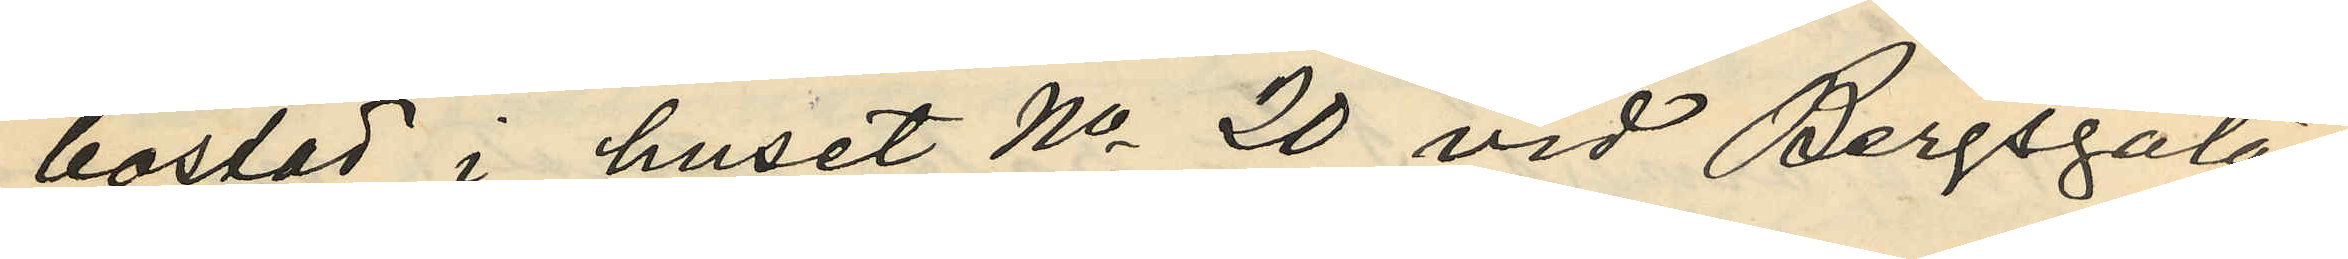bostad i huset No 20 vid Bergsgatan;
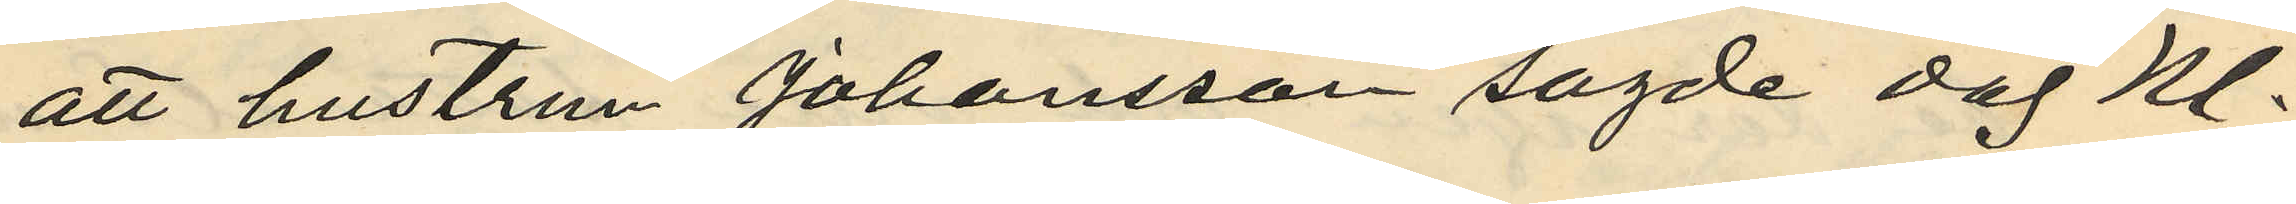att hustrun Johansson sagde dag Kl.
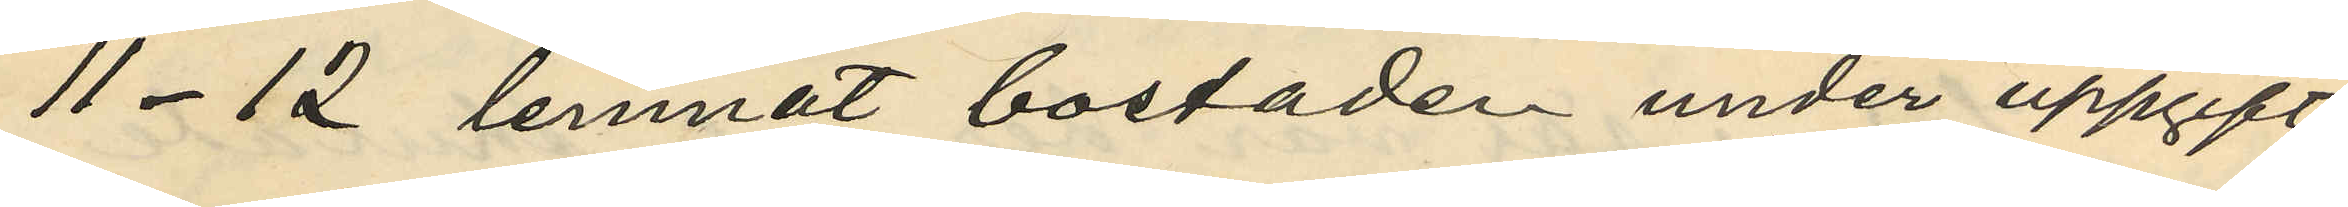11-12 lemnat bostaden under uppgift
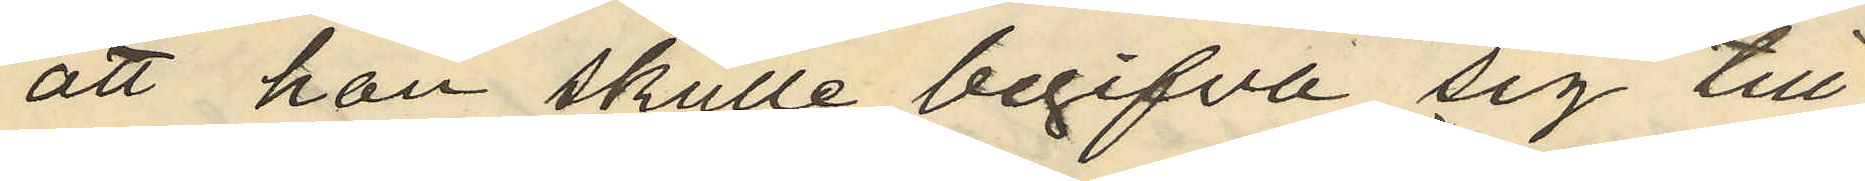att hon skulle begifva sig till
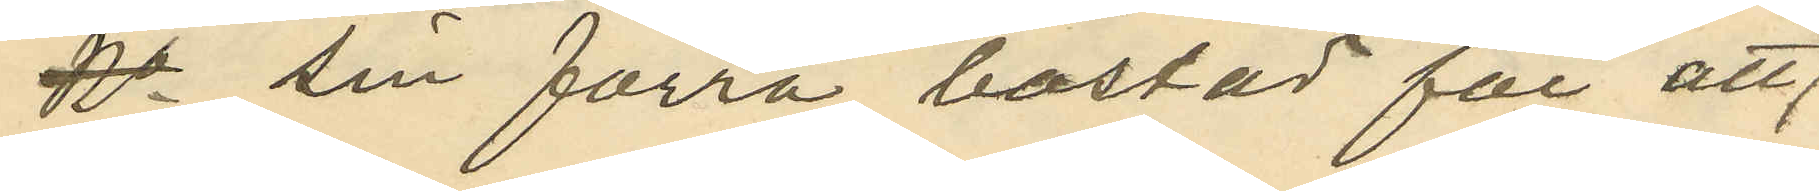 sin förra bostad för att
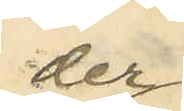der
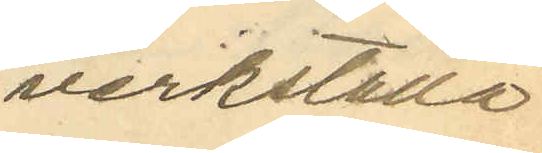verkställa
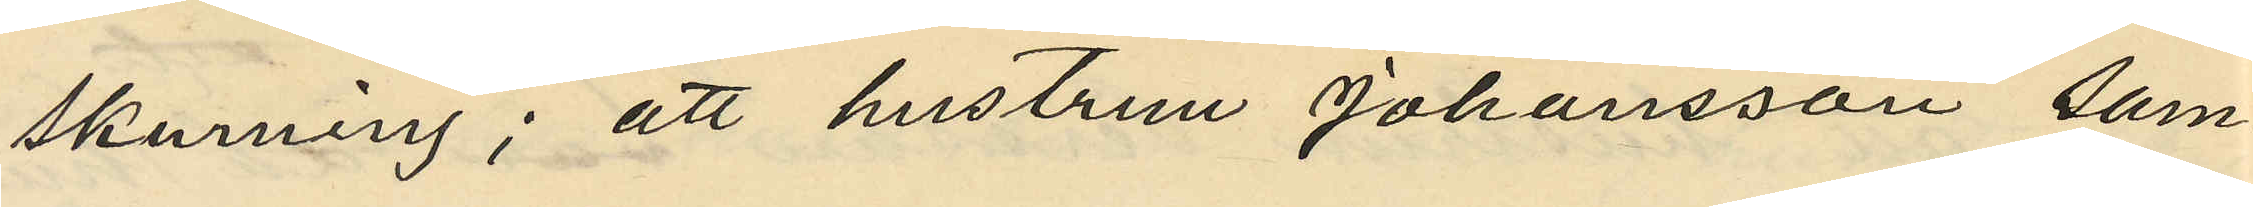skurning; att hustrun Johansson sam¬
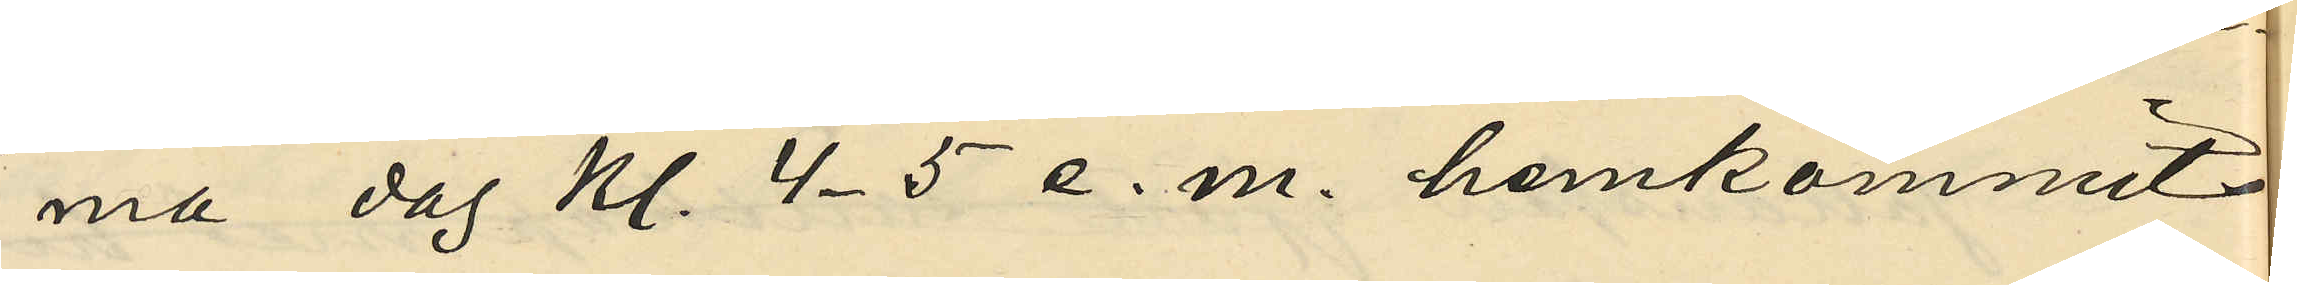ma dag kl. 4-5 e. m. hemkommit
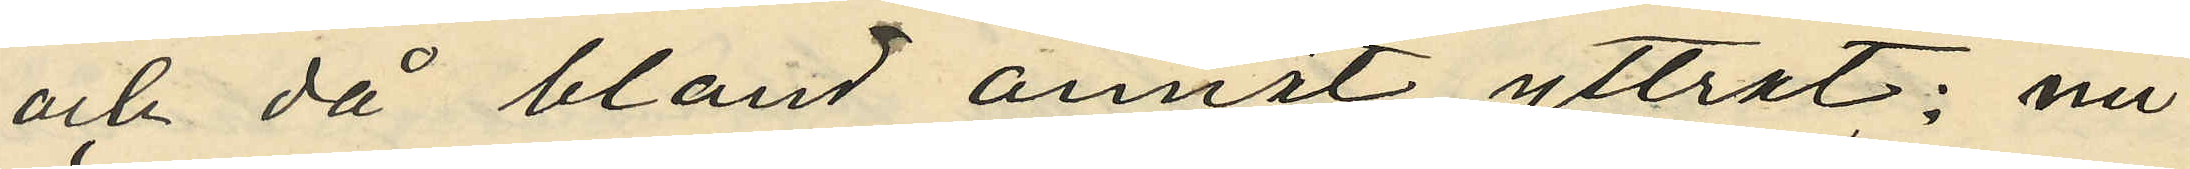och då bland annat yttrat: "nu
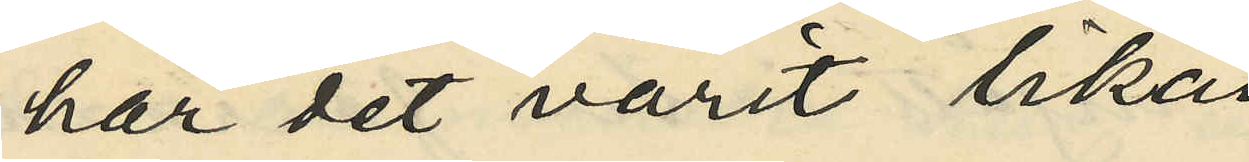har det varit lika¬
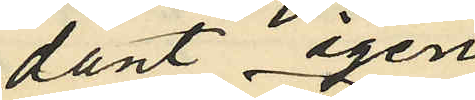dant  igen
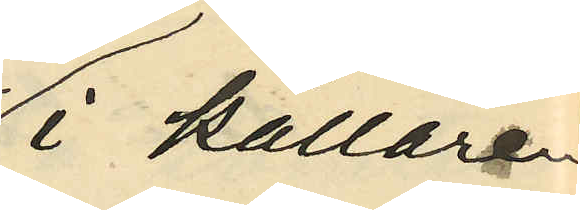i källaren.
